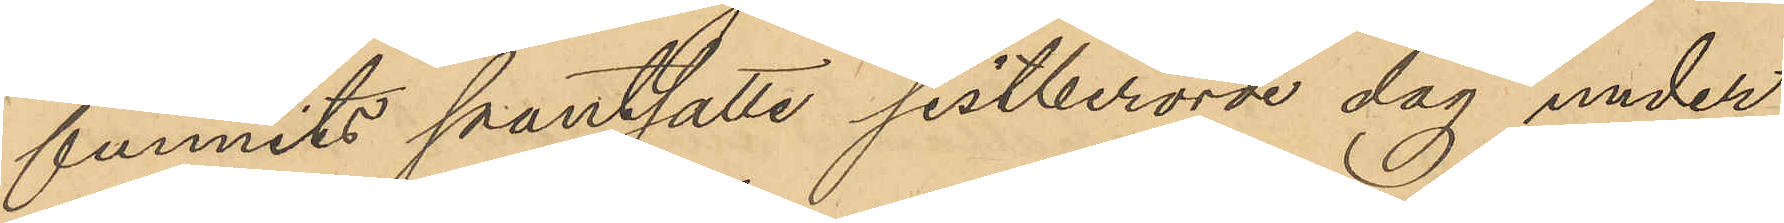funnits pantsatta sistberörde dag under
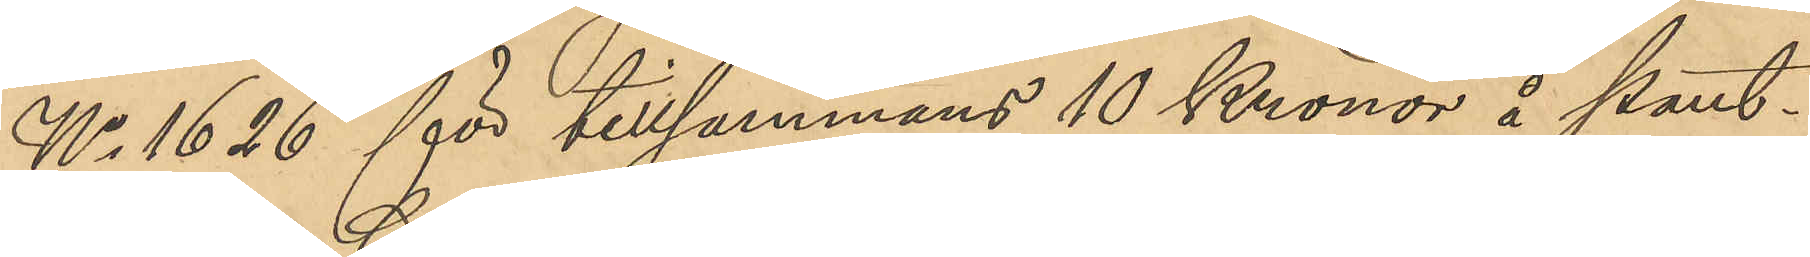No 1626 för tillsammans 10 Kronor å Pant¬
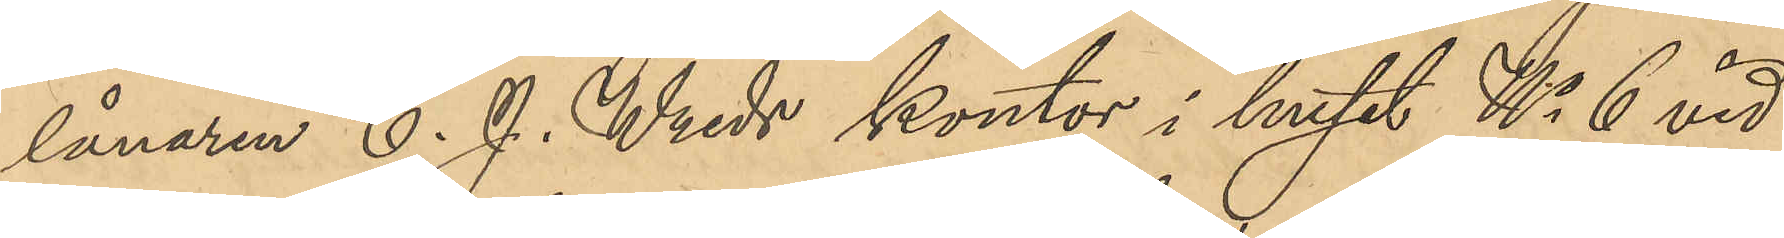lånaren C. J. Wreds kontor i huset No 6 vid
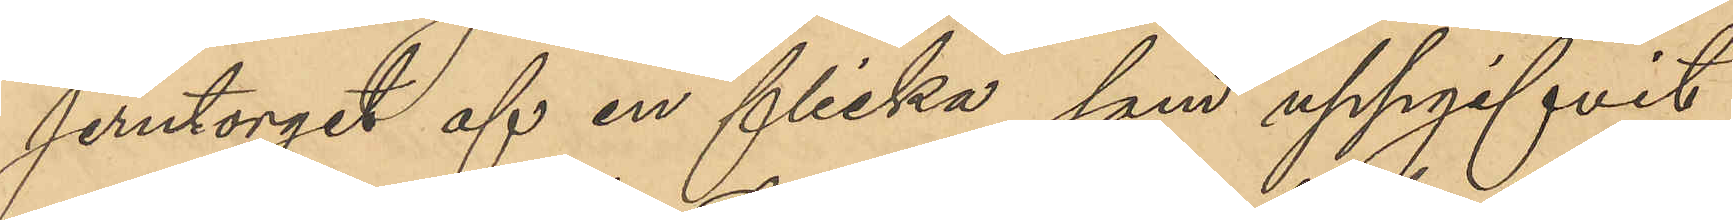Jerntorget af en flicka, som uppgifvit
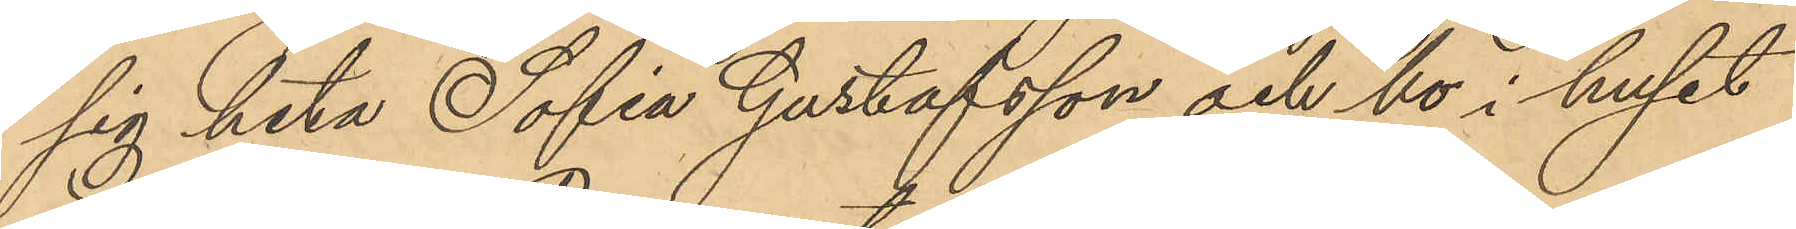sig heta Sofia Gustafsson och bo i huset
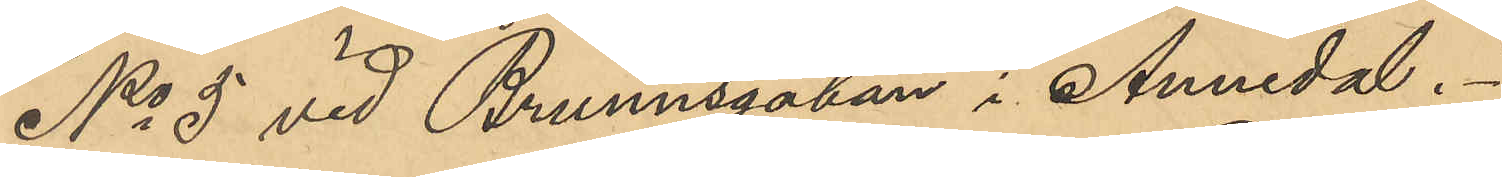No 5 vid Brunnsgatan i Annedal.
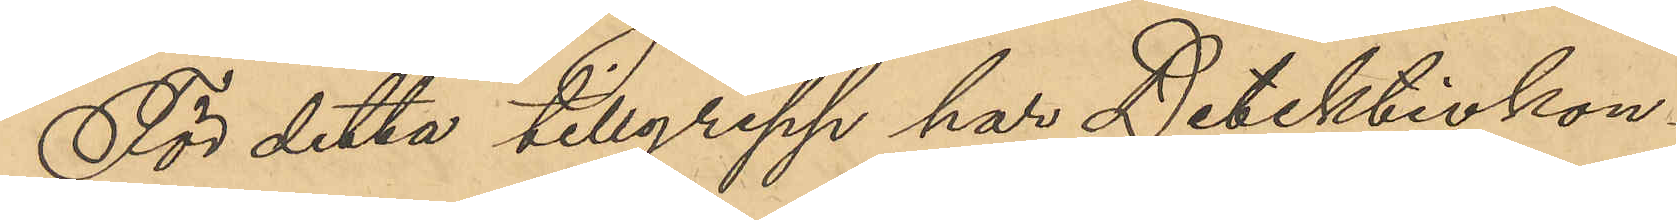För detta tillgrepp har Detektivkon¬
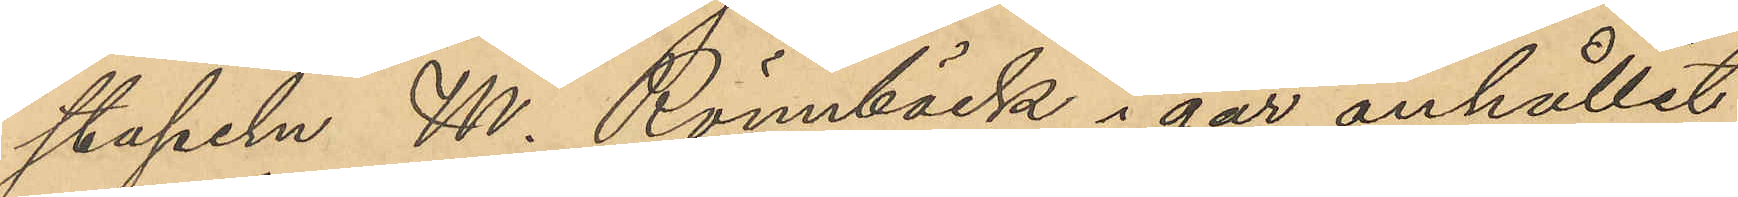stapeln N. Rönnbäck i går anhållit
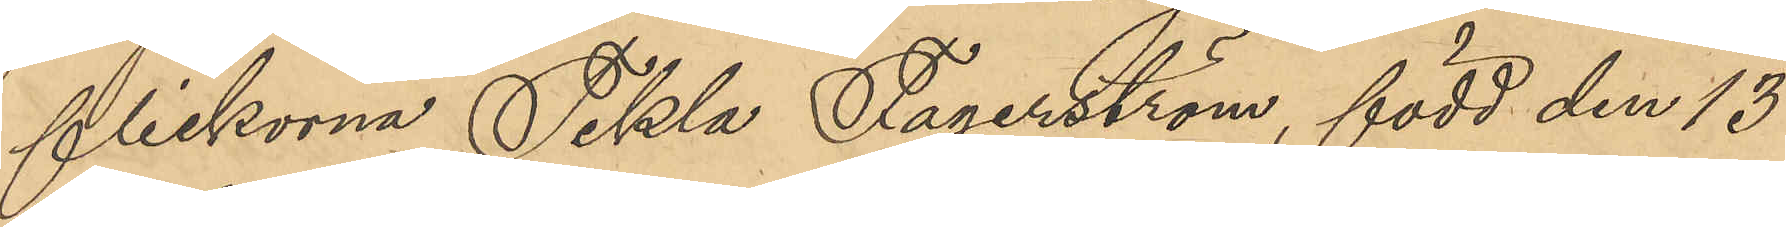flickorna Tekla Fagerström, född den 13
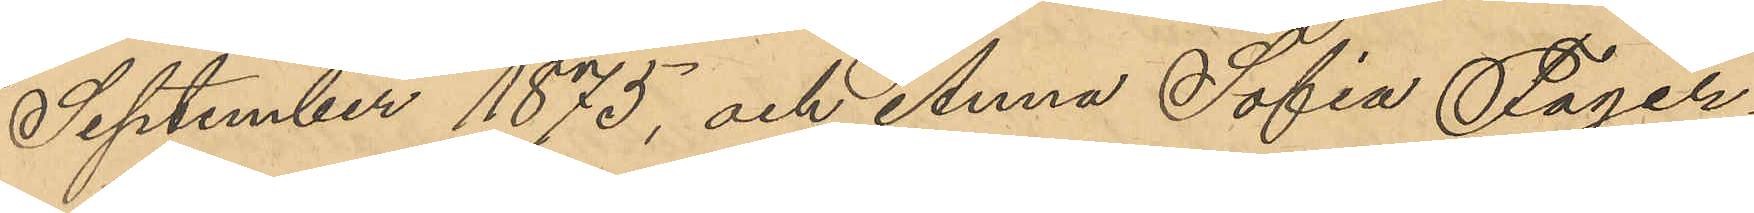September 1875, och Anna Sofia Fager¬
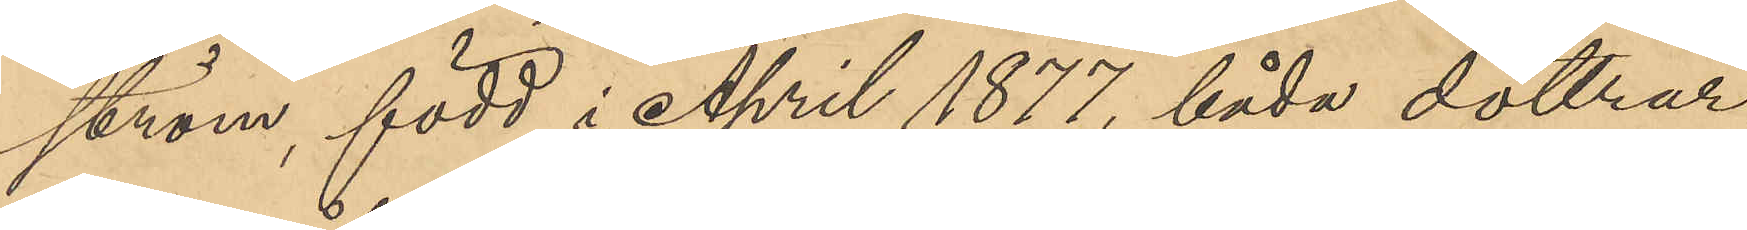ström, född i April 1877, båda döttrar
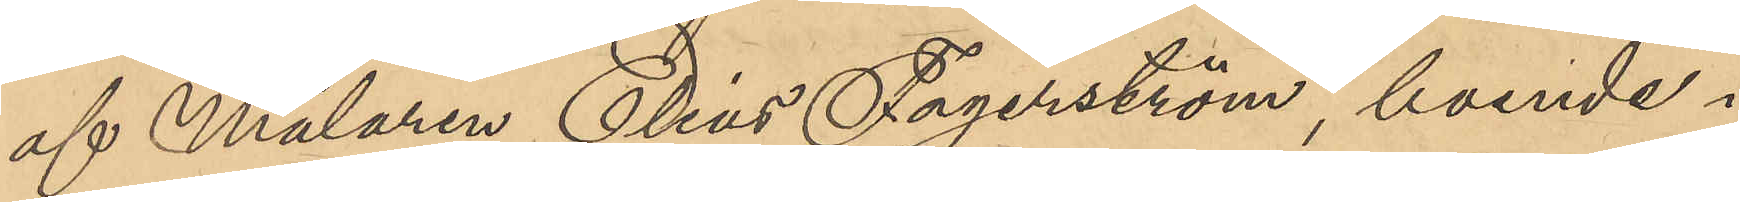af Målaren Elias Fagerström, boende i
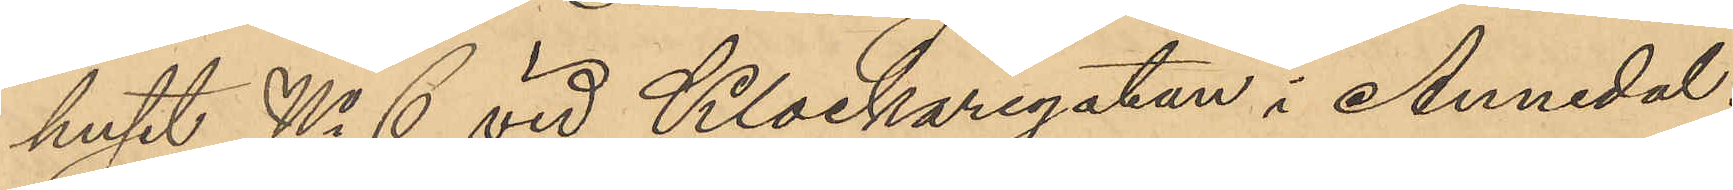huset No 6 vid Klockaregatan i Annedal;
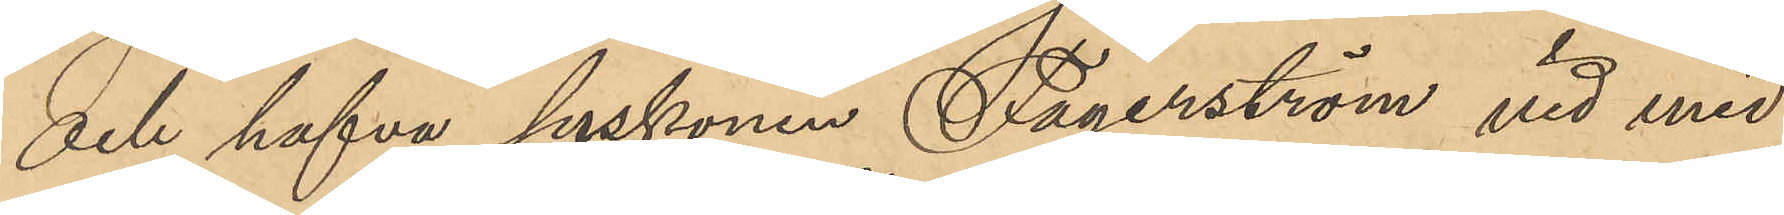och hafva syskonen Fagerström vid med 
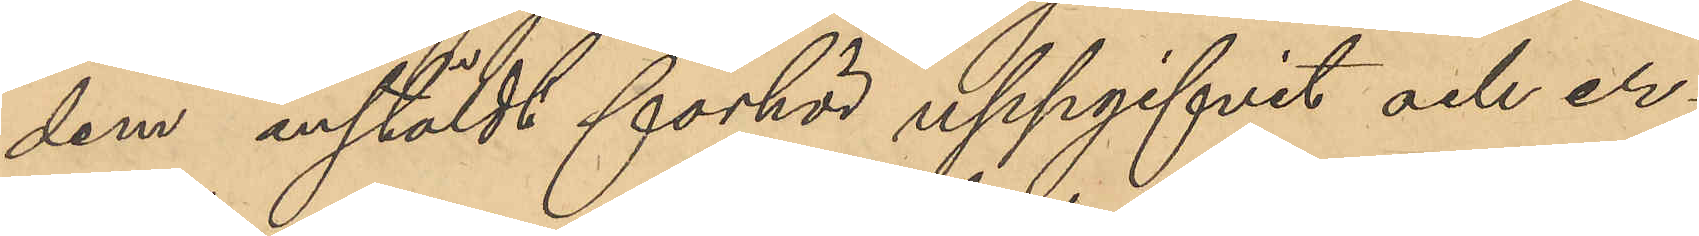dem anstäldt förhör uppgifvit och er¬
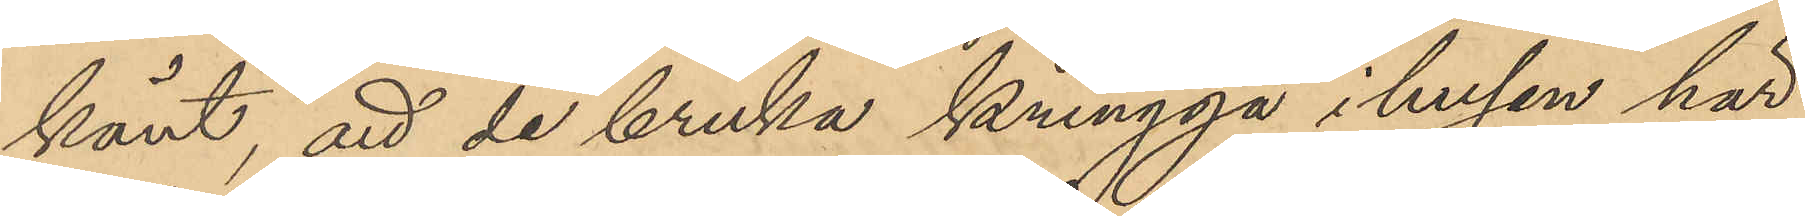känt, att de bruka kringgå i husen här 
